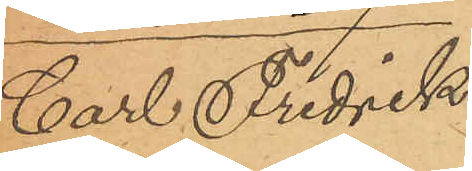Carl Fredrik
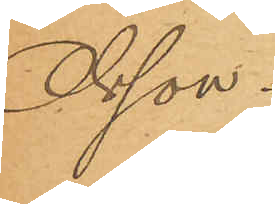Olson.
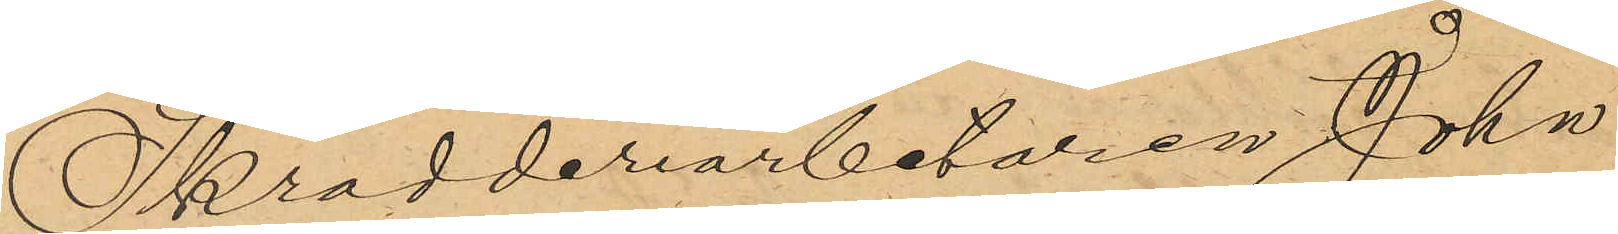Skrädderiarbetaren Johan
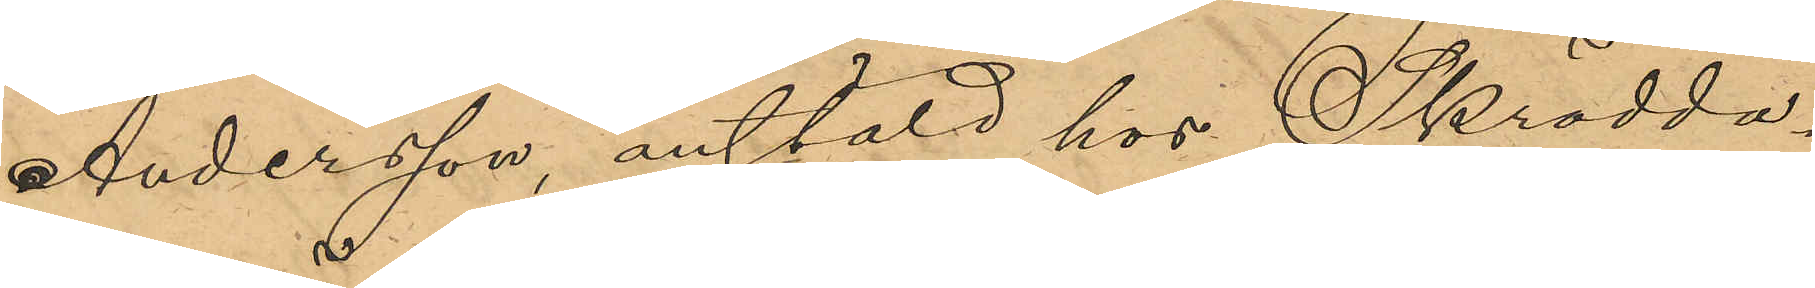Andersson, anstäld hos Skrädda¬
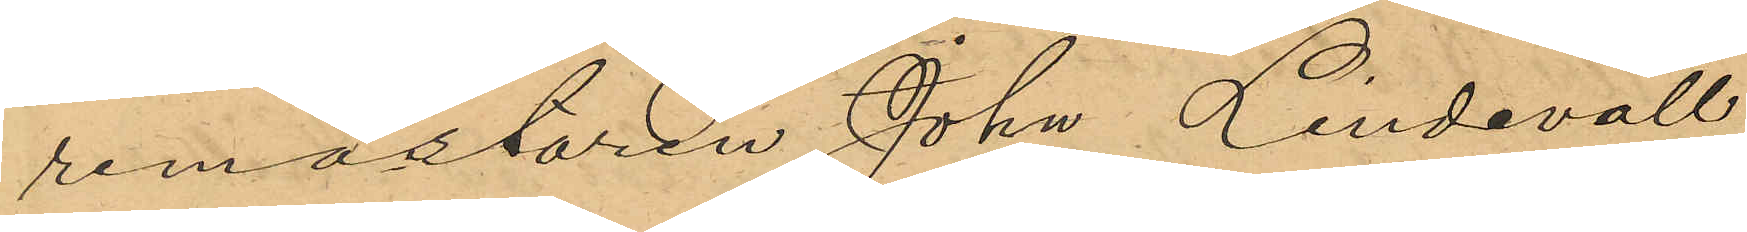remästaren John Lindevall,
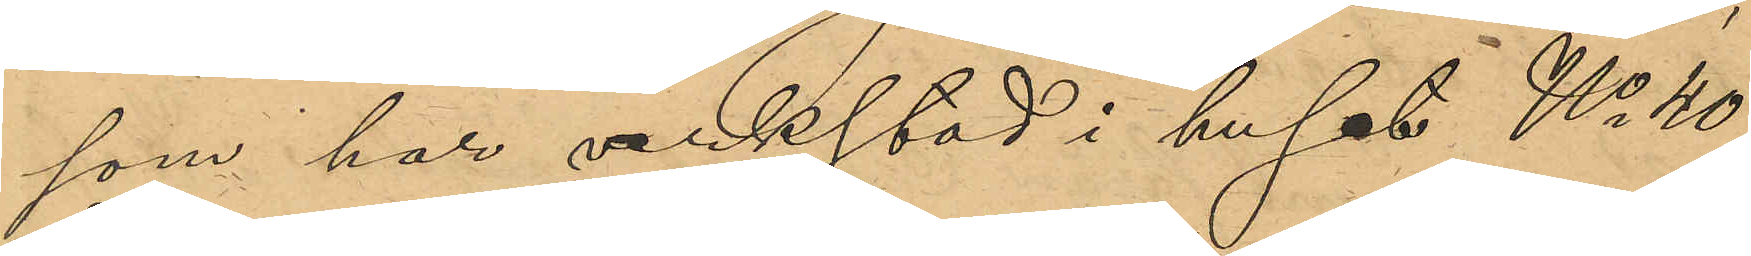som har verkstad i huset No 40
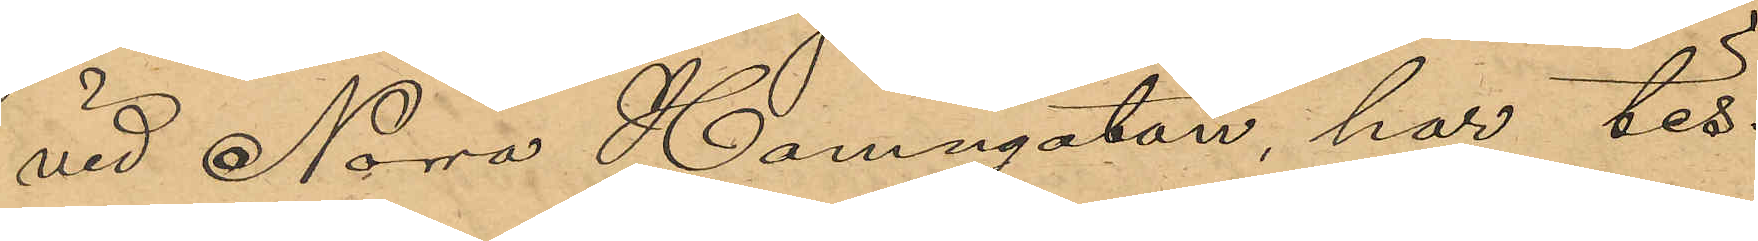vid Norra Hamngatan, har tis¬
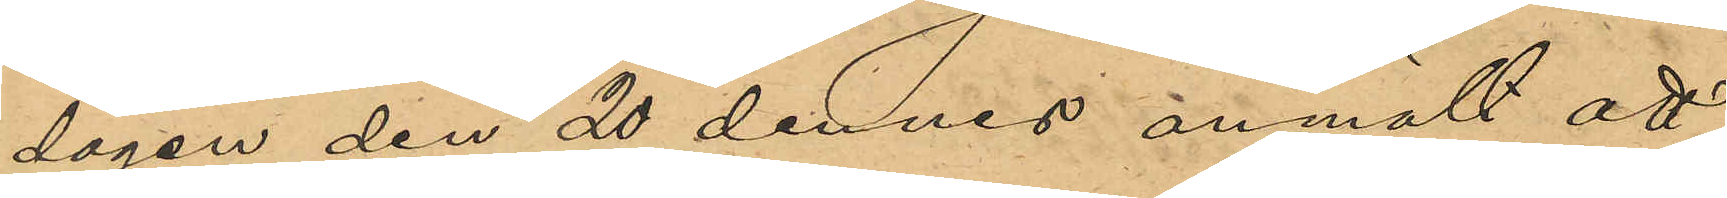dagen den 20 dennes anmält att
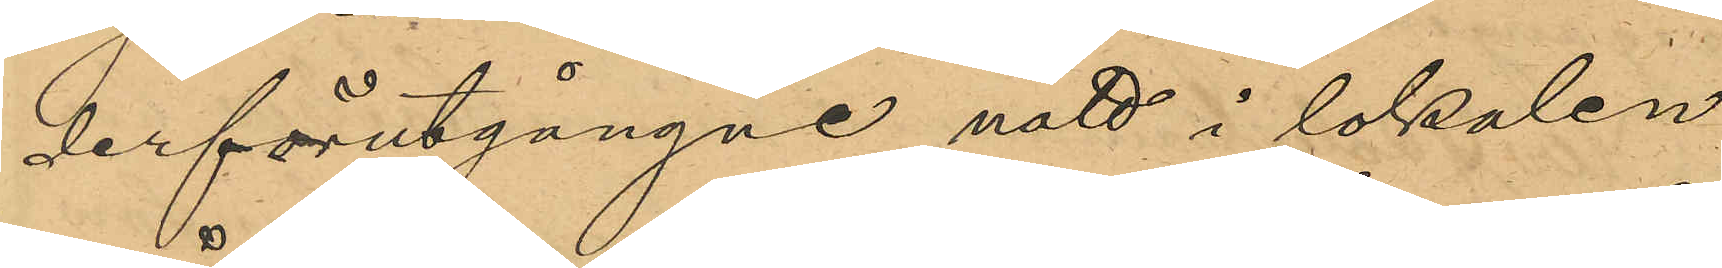derförutgångne natt i lokalen
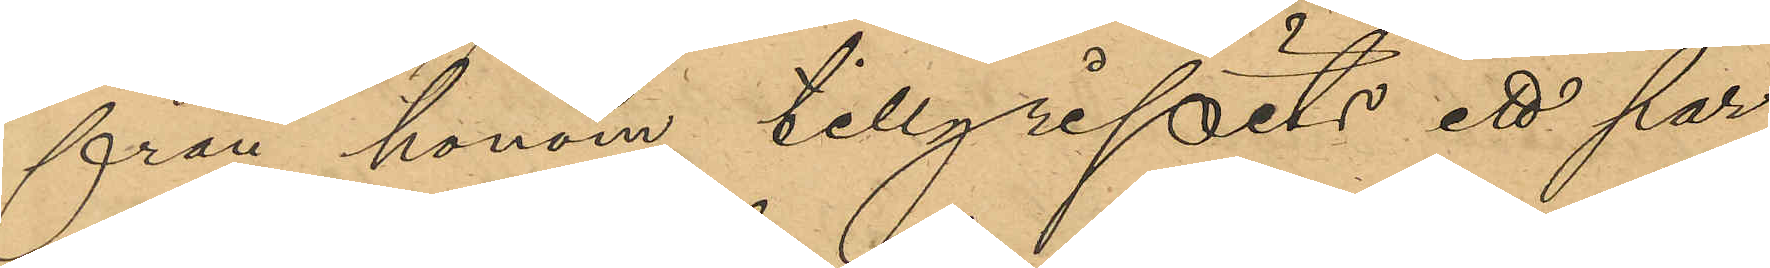från honom tillgripits ett par
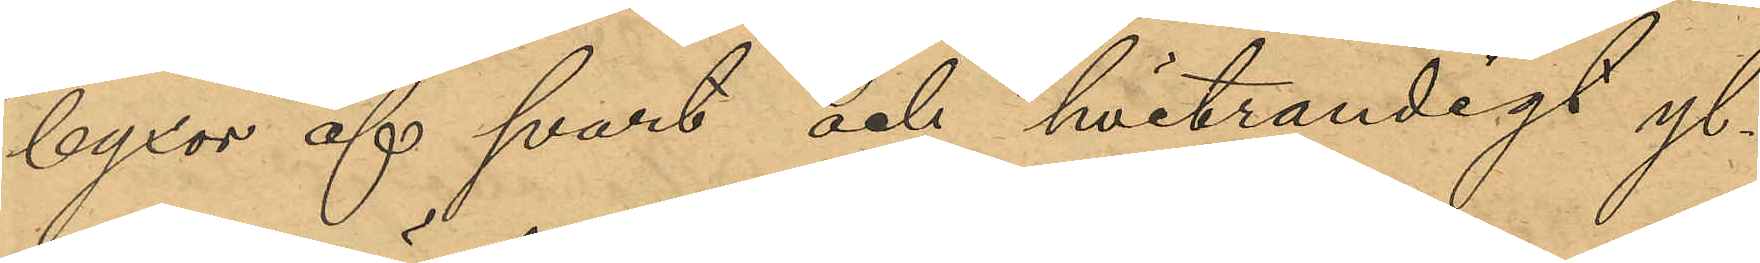byxor af svart och hvitrandigt yl¬
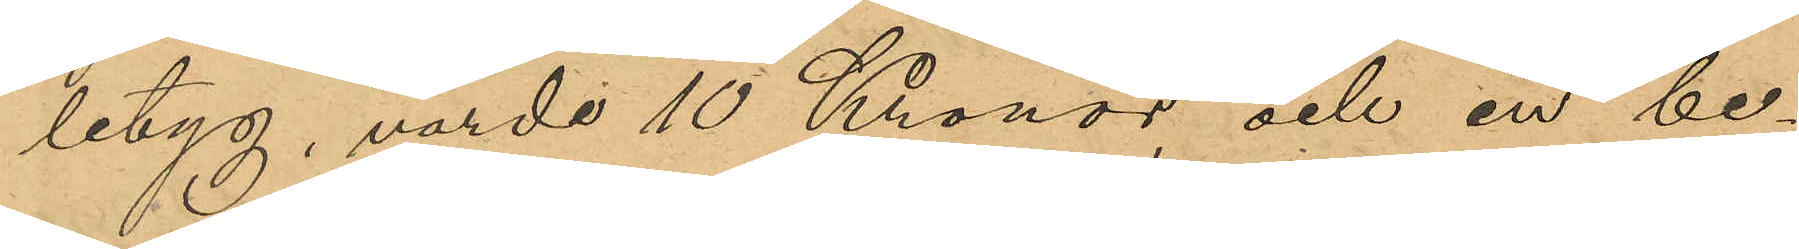letyg, värde 10 Kronor, och en be¬
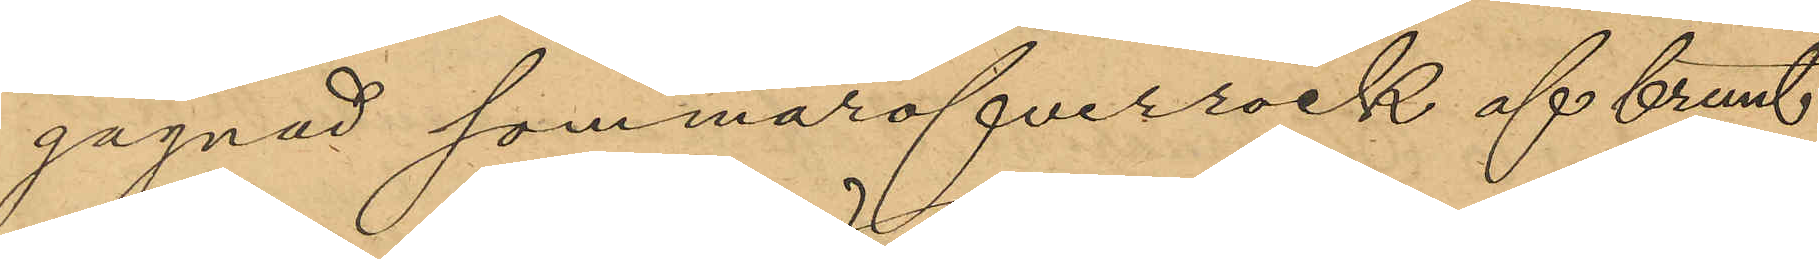gagnad sommaröfverrock af brunt
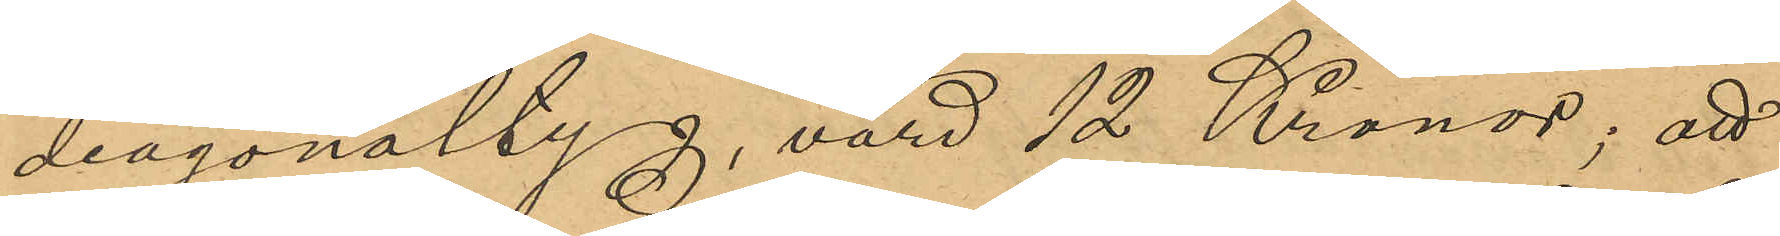diagonaltyg, värd 12 Kronor; att
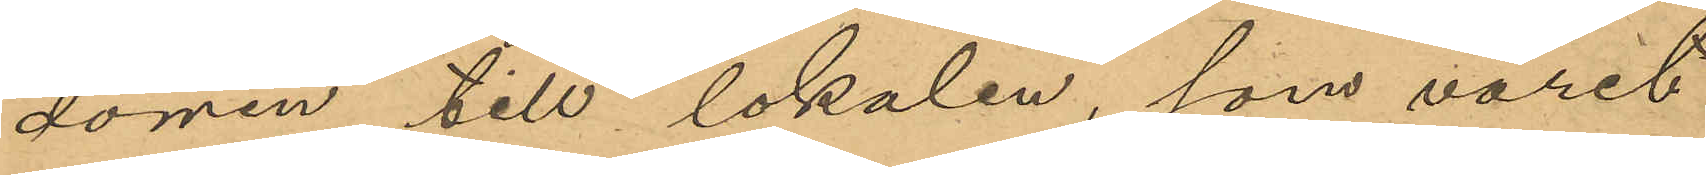dörren till lokalen, som varet
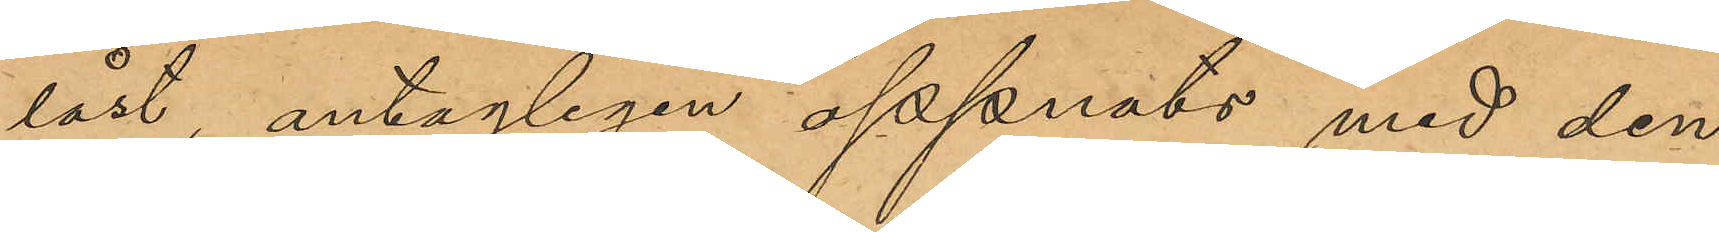låst, antagligen öppnats med den
